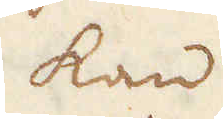kan
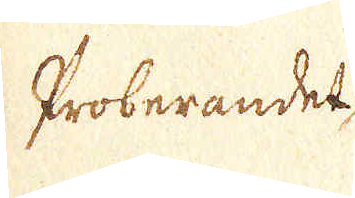Proberandet,
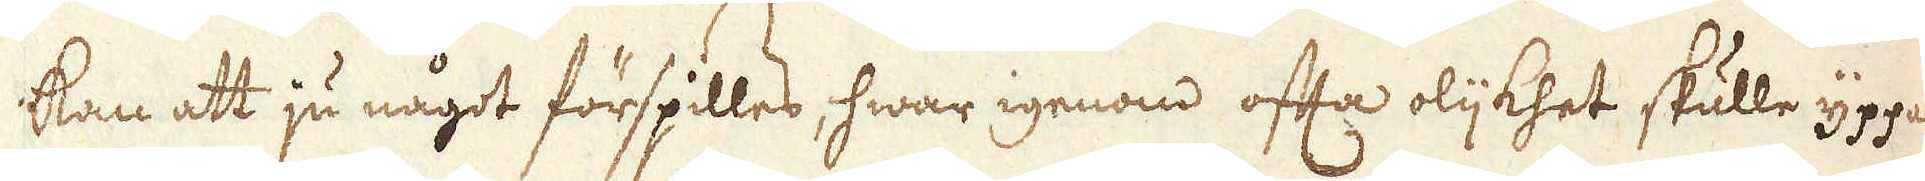kan att ju något förspilles, hwar igenom ofta olijkhet skulle yppas
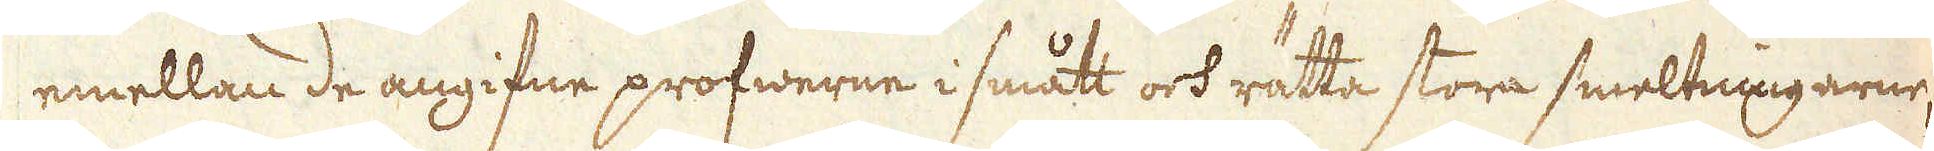emellan de angifne profwerne i smått och rätta stora smeltningar;
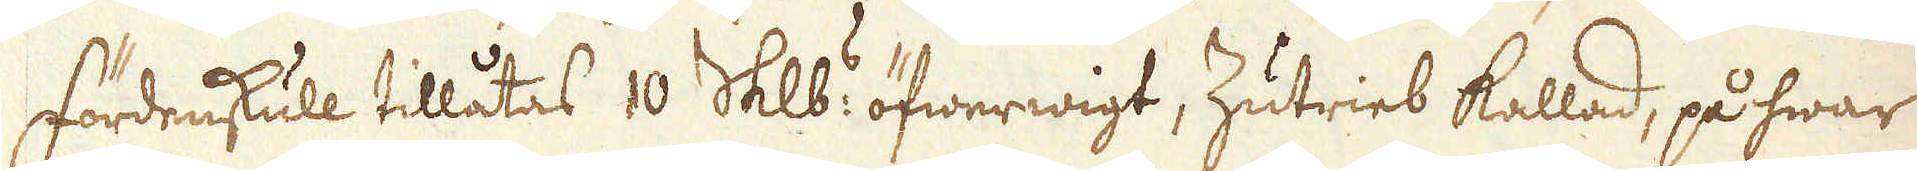Fördenskull tillåtas 10 Skålpund:s öfwerwigt, Zutrieb kallad, på hwar
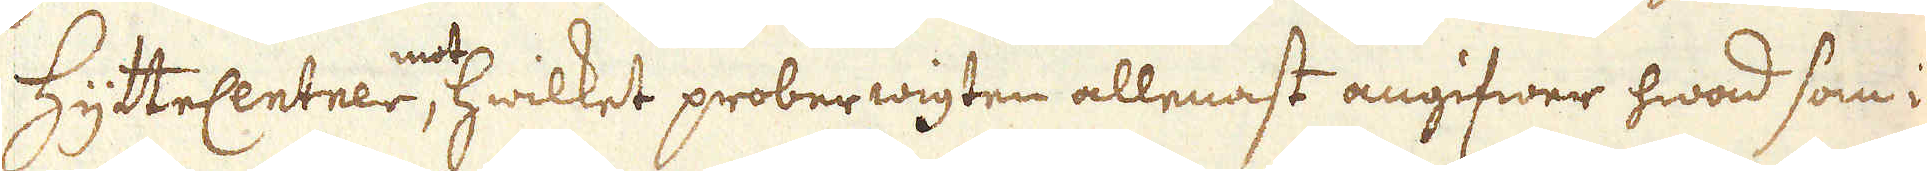HytteCentnern, mot hwilket proberwigten allenast angifwer hwad som i
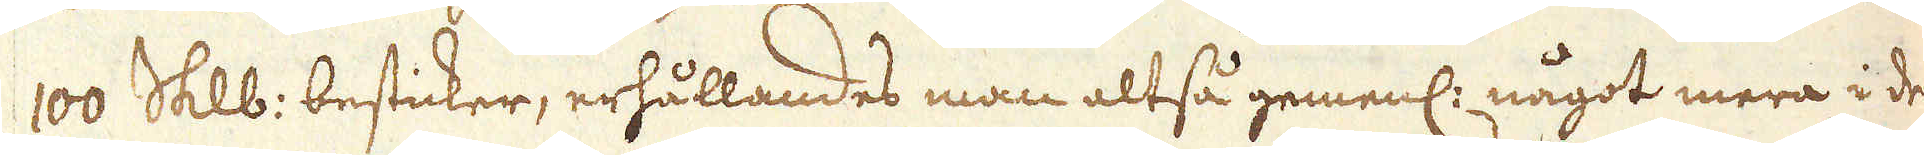100 Skålpund besticker, erhållandes man altså gemenl: något mera i de
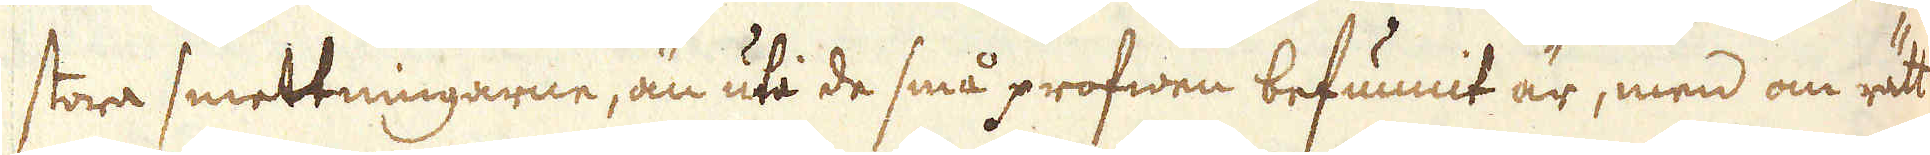stora smettningarne, än uti de små profwen befunnit är, men om rätt
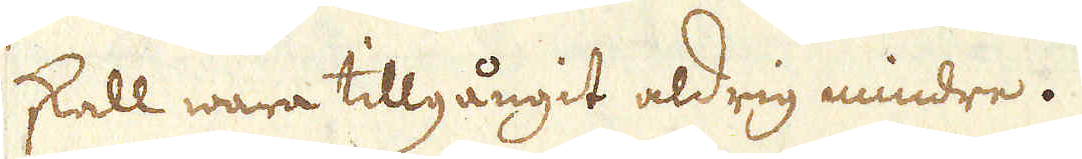skall wara tillgångit aldrig mindre.
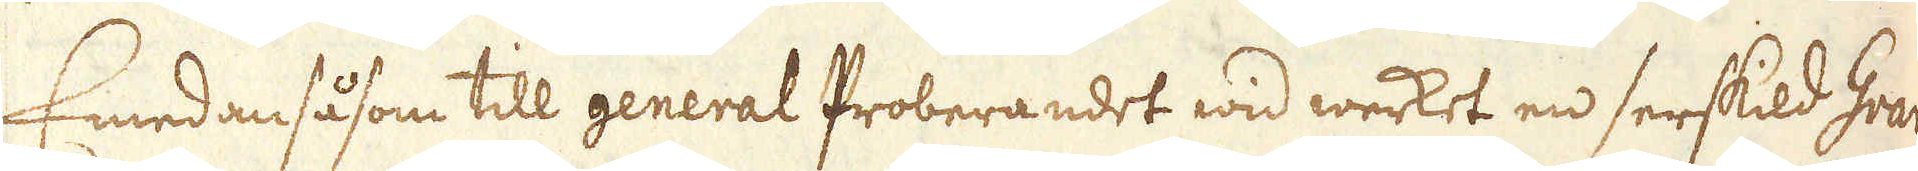Emedan såsom till general Proberandet wid werket en serskild Gran-
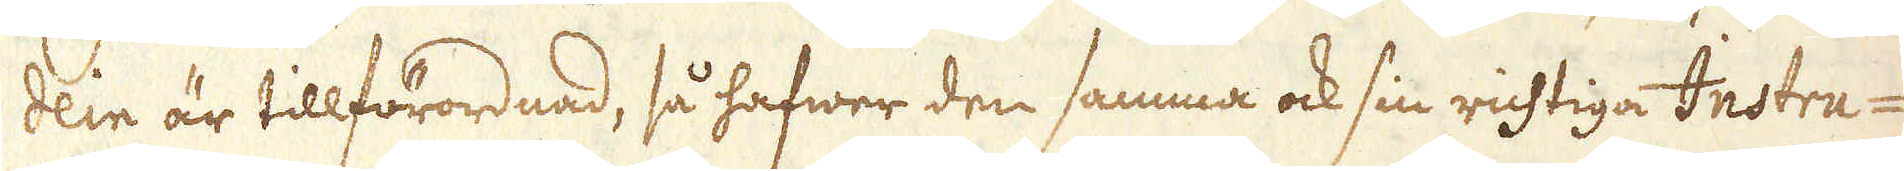dein är tillförordnad, så hafwer den samma ock sin richtiga Instru-
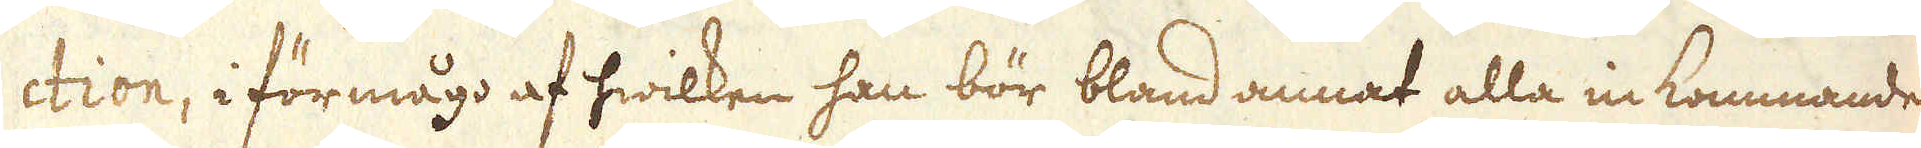ction, i förmågo af hwilken han bör bland annat alla inkommande
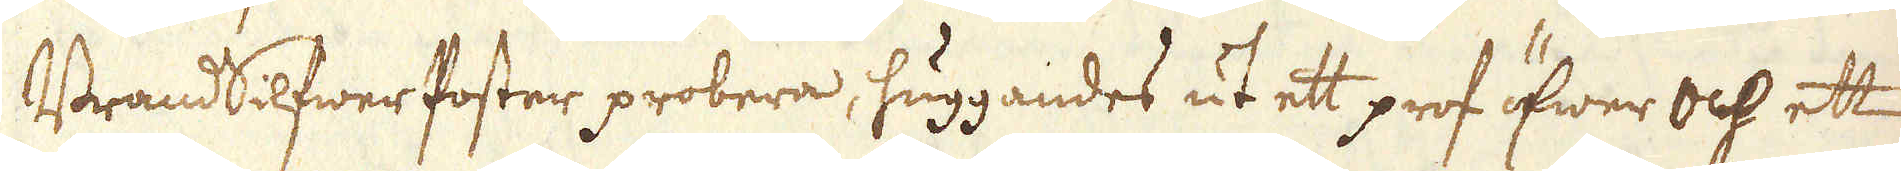BrandSilfwer foster probera, huggandes ut ett prof öfwer och ett
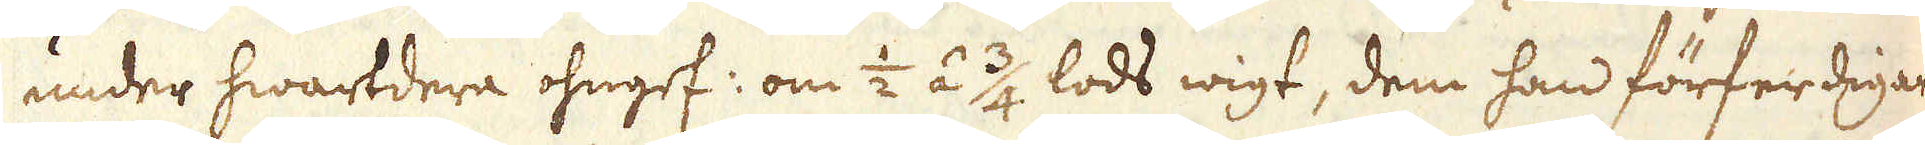under hwartdera ohngef: om 1/2 á 3/4 lods wigt, dem han förferdeigar
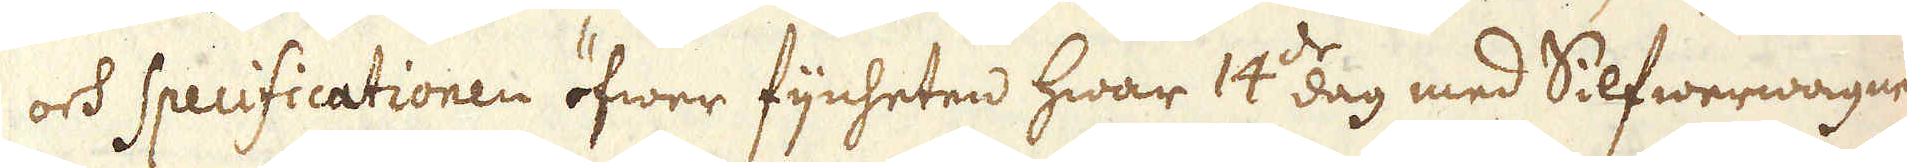och Specificationen öfwer fijnheten hwar 14:de dag med Silfwerwagnen
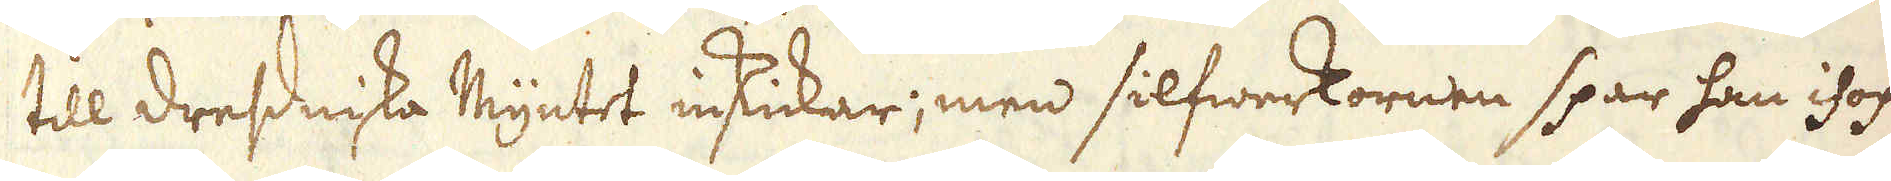till dresdniska Myntet inskickar; men silfwerkornen spar han ihop
